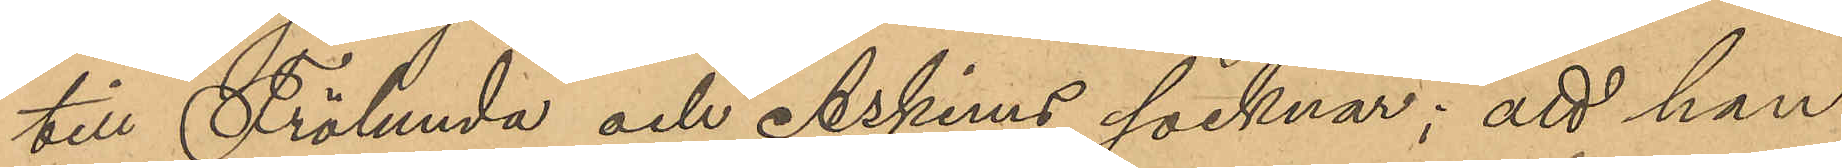till Frölunda och Askims socknar; att han
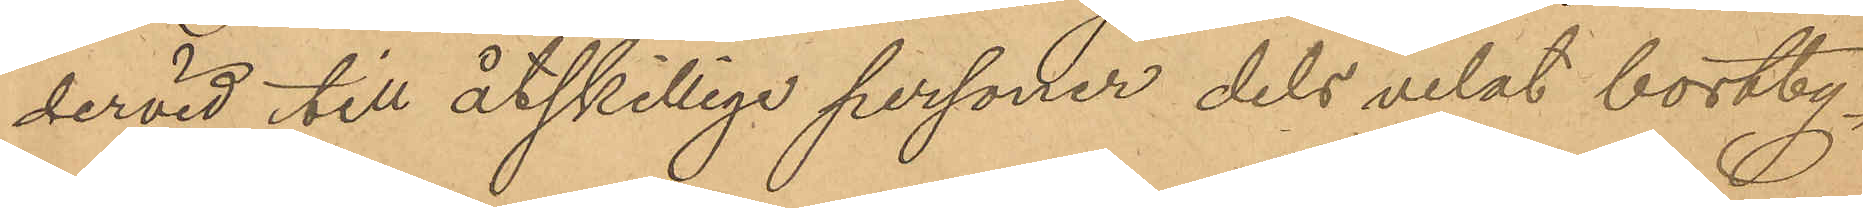dervid till åtskilliga personer dels velat bortby¬
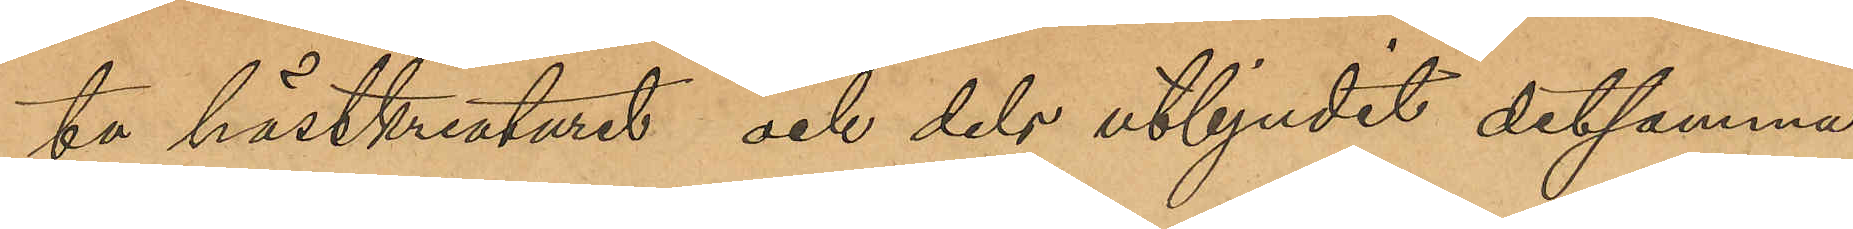ta hästkreaturet och dels utbjudit detsamma
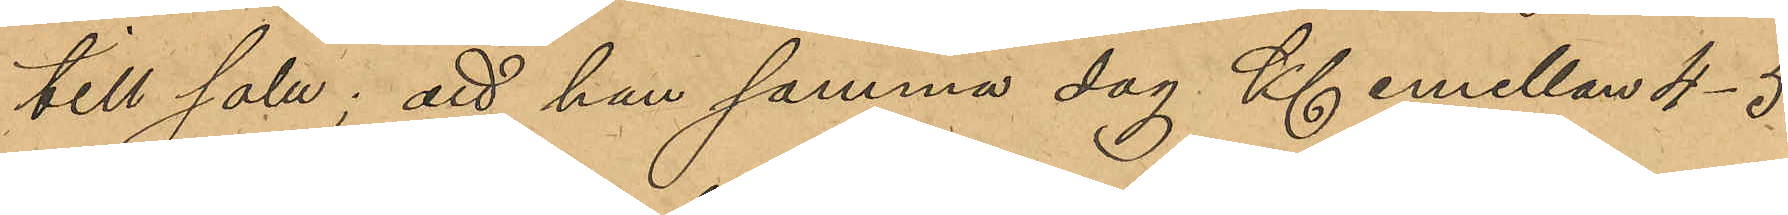till salu; att han samma dag Kl emellan 4-5
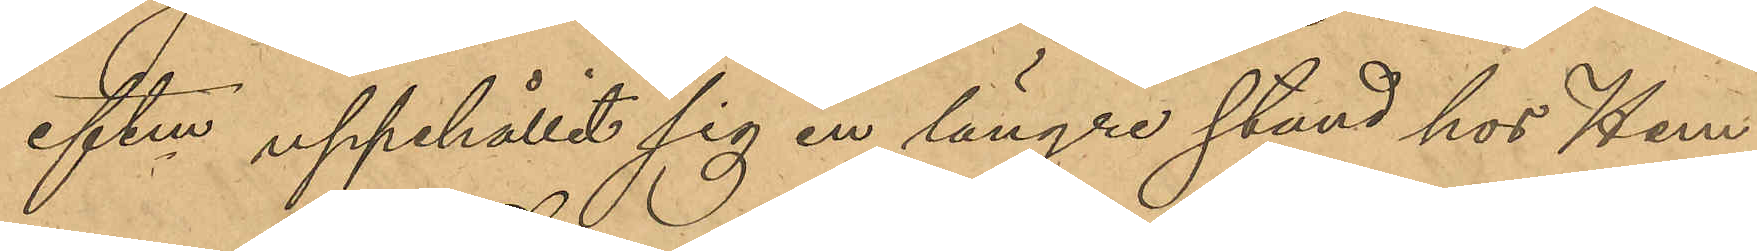eftm uppehållit sig en längre stund hos Hem¬
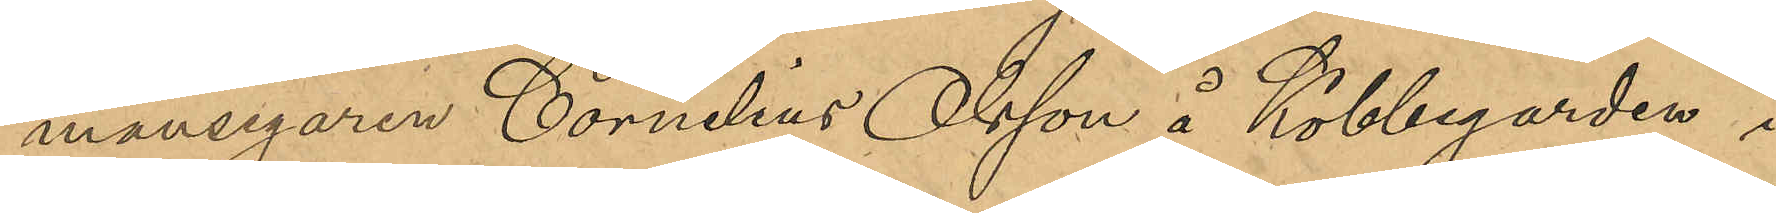mansegaren Cornelius Olsson å Köbbegarden i
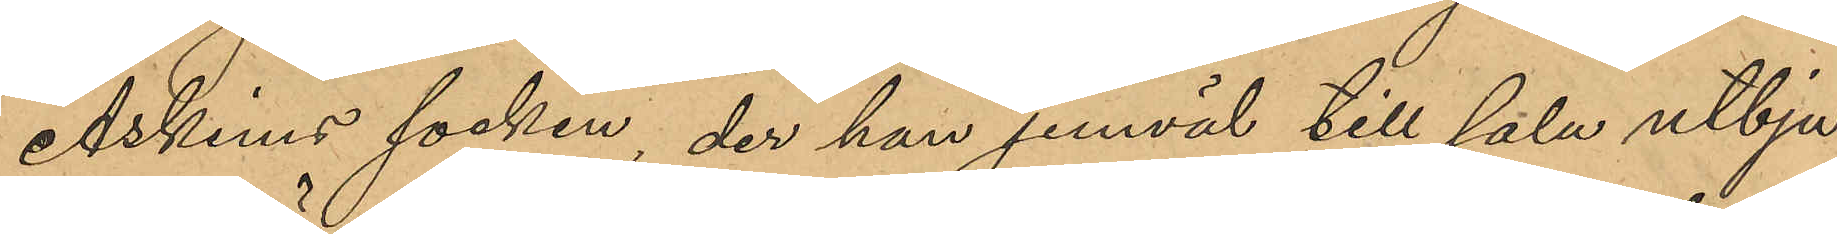Askims socken, der han jemväl till salu utbju¬
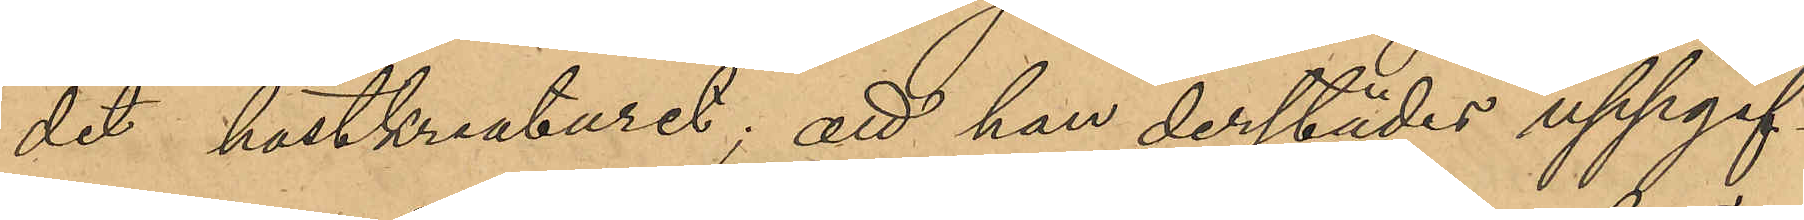dit hästkreaturet; att han derstädes uppgif¬
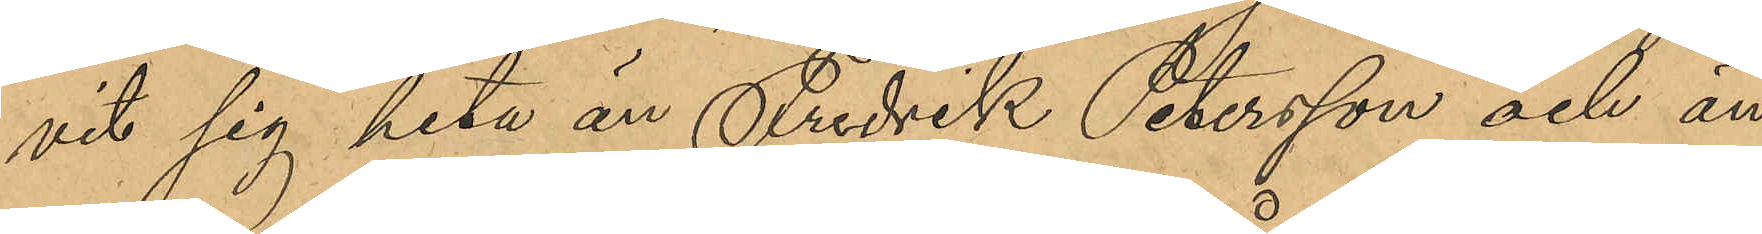vit sig heta Fredrik Petersson och än
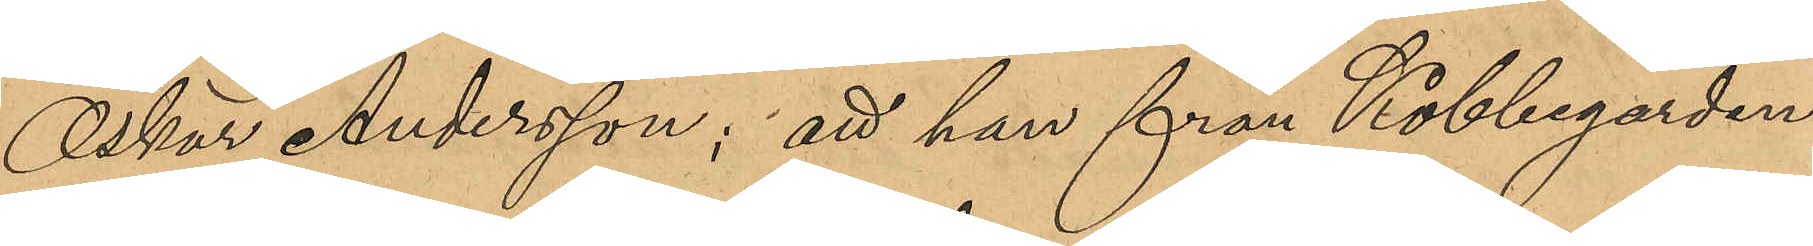Oskar Anderson; att han från Köbbegården 
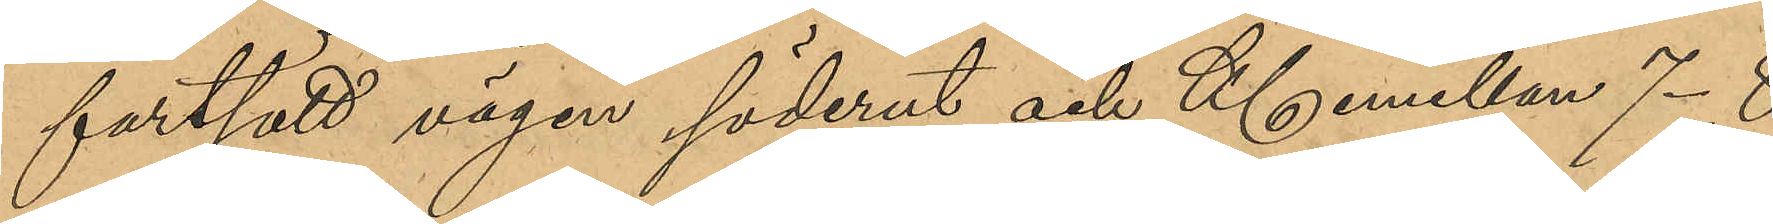fortsatt vägen söderut och Kl emellan 7-8
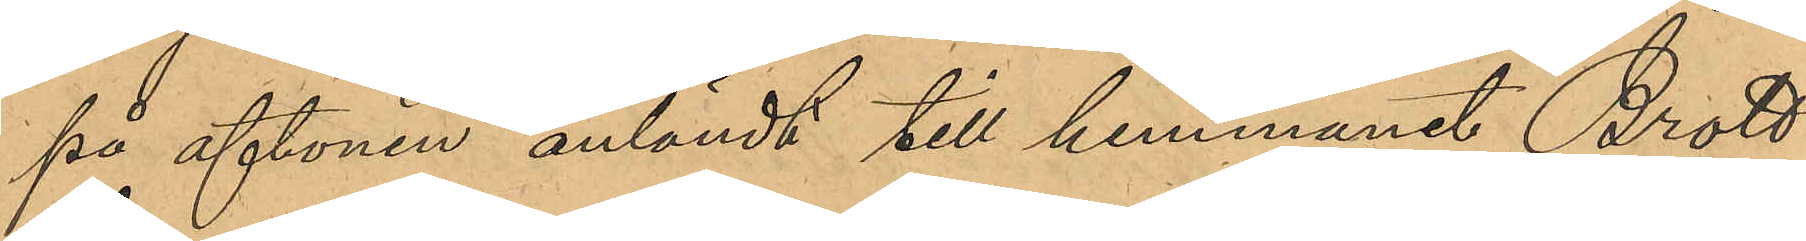på aftonen anländt till hemmanet Brott¬
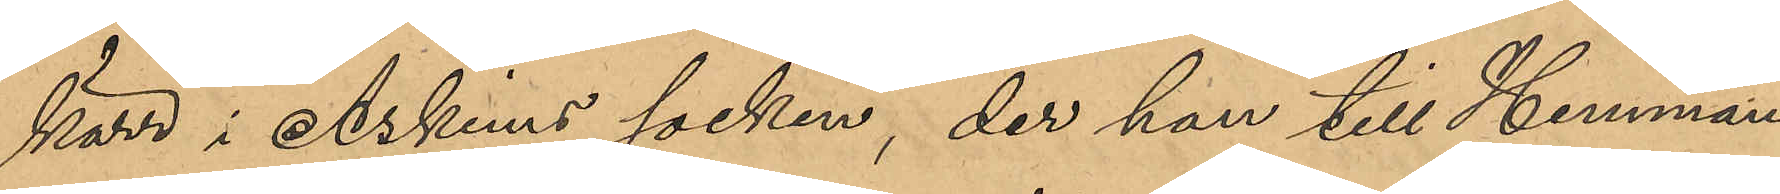kärr i Askims socken, der han till Hemmans¬
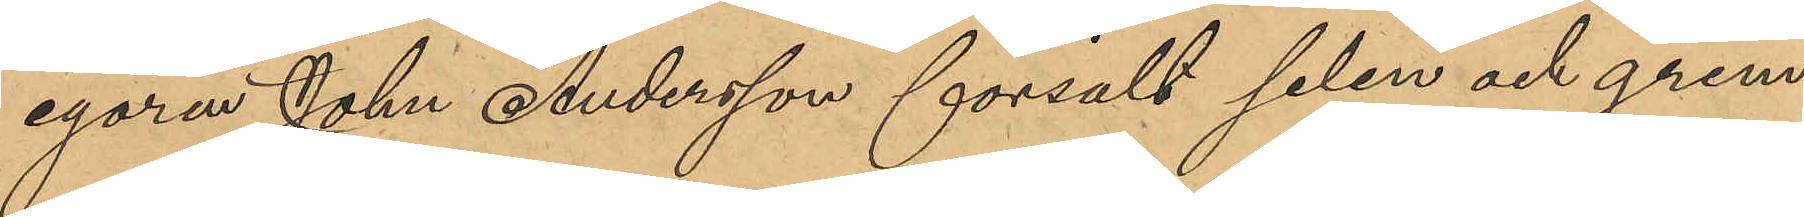egaren Johan Andersson försålt selen och grim¬
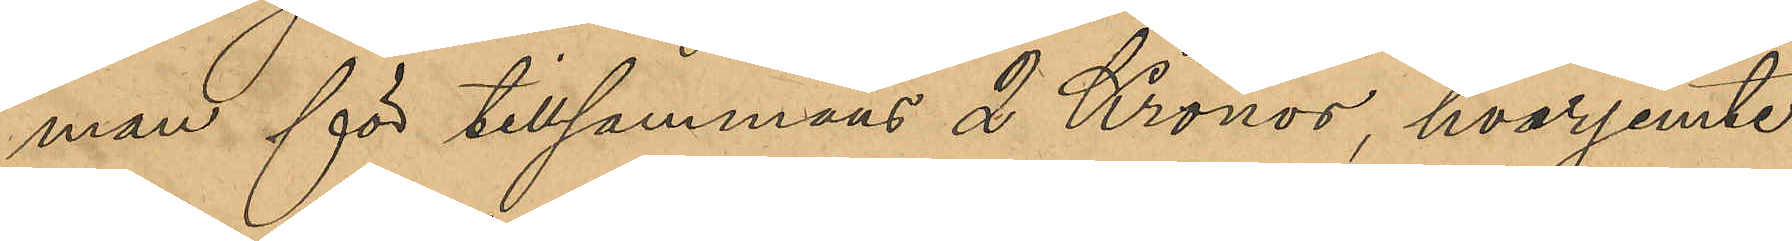man för tillsammans 2 Kronor, hvarjemte
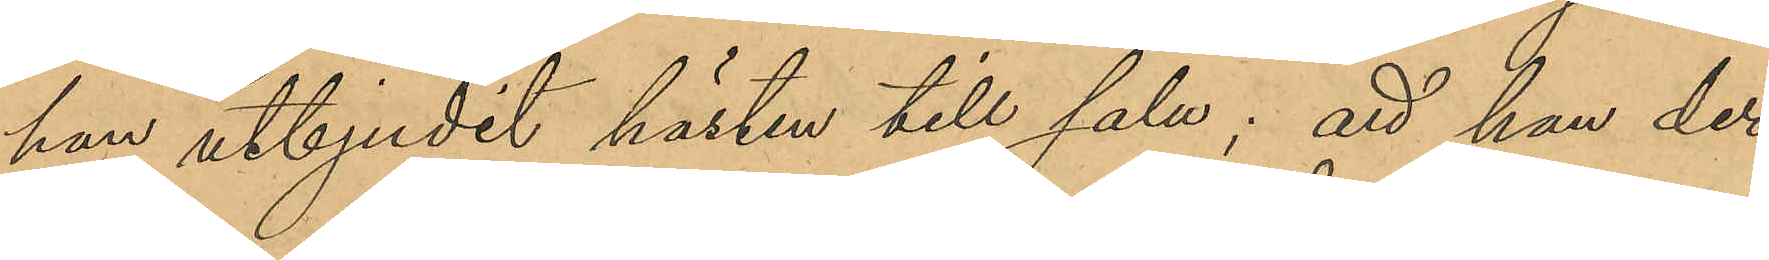han utbjudit hästen till salu; att han der¬
